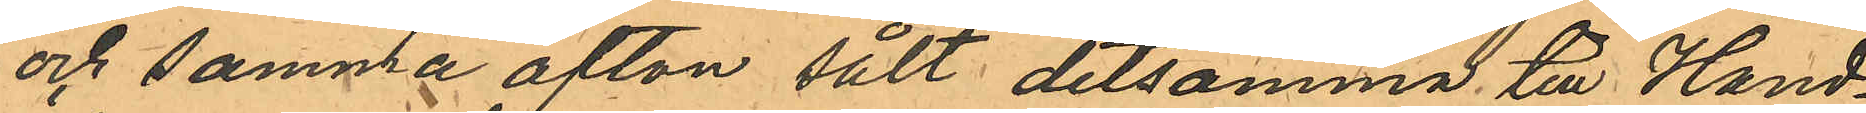och samma afton sålt detsamma till Hand¬
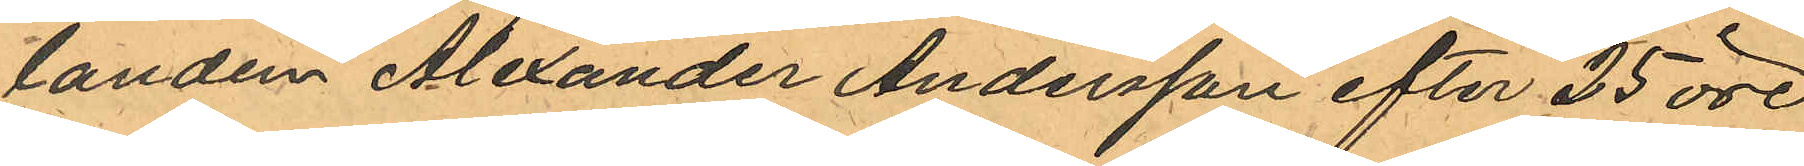landen Alexander Andersson efter 25 öre
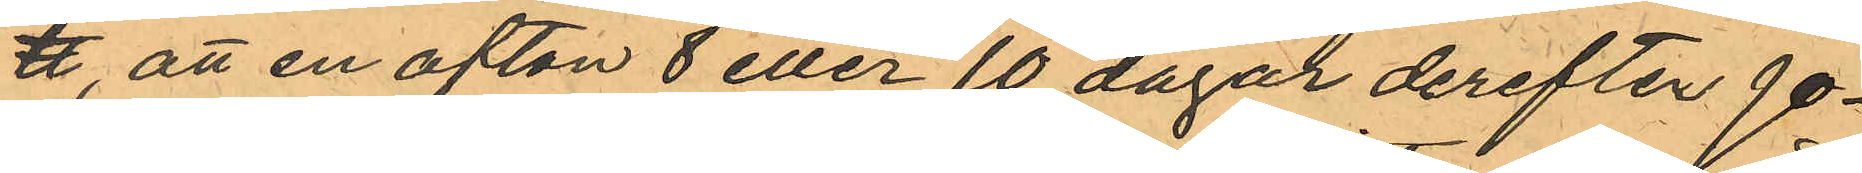℔, att en afton 8 eller 10 dagar derefter Jo¬
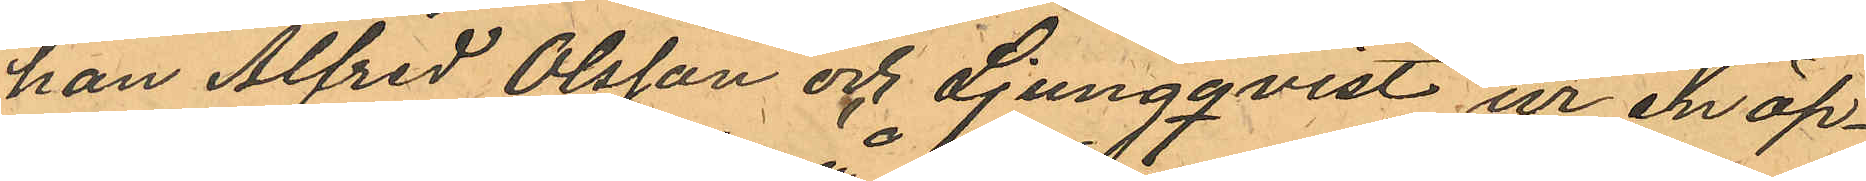han Alfred Olsson och Ljungqvist ur en öp¬
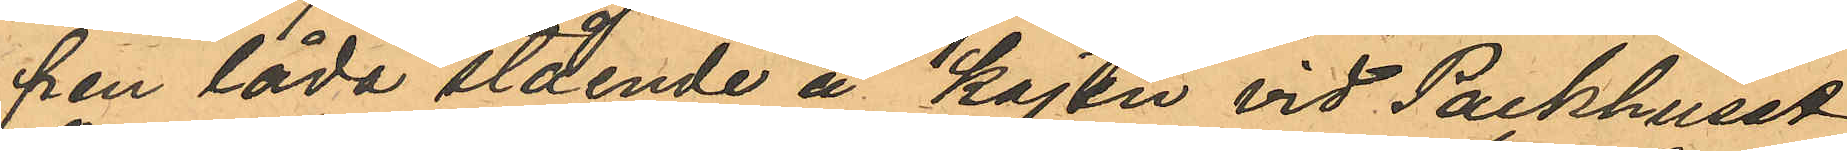pen låda stående å kajen vid Packhuset
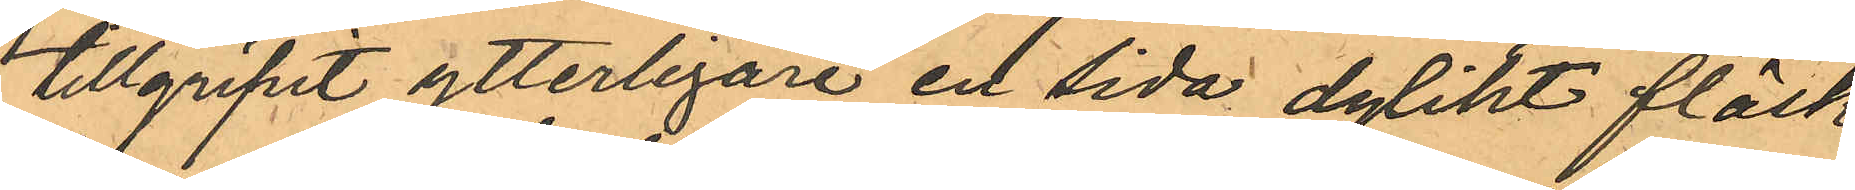tillgripit ytterligare en Sida dylikt fläsk
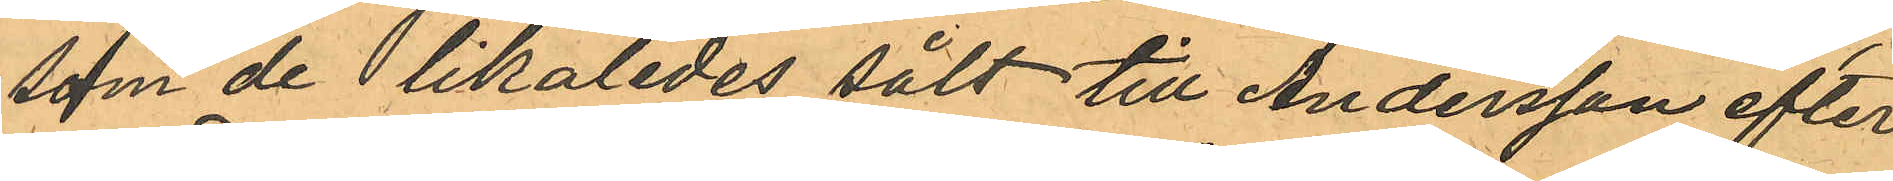som de likaledes sålt till Andersson efter
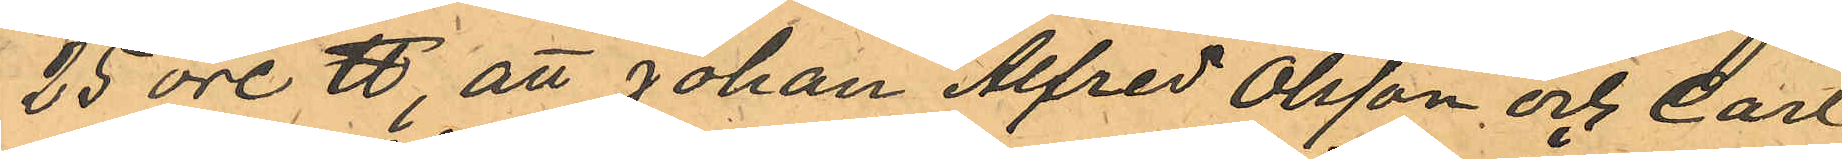25 öre ℔, att Johan Alfred Olsson och Carl
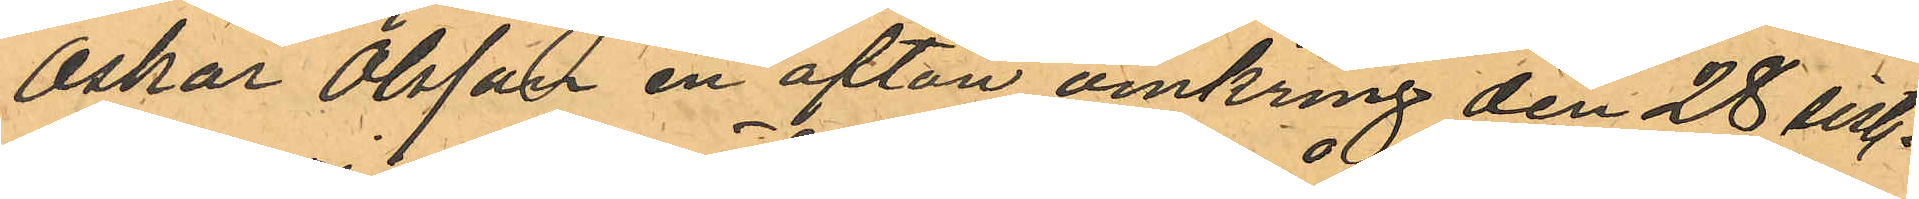Oskar Olsson en afton omkring den 28 sist.
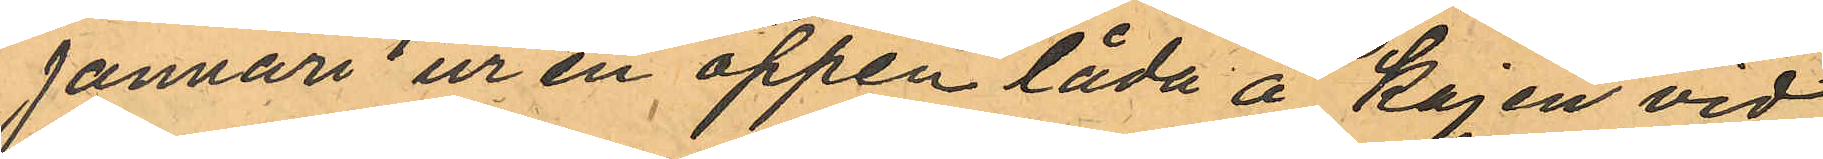Januari ur en öppen låda å kajen vid
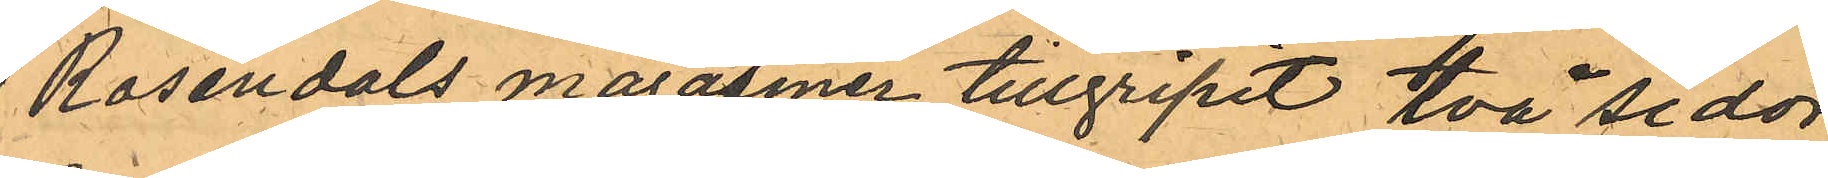Rosendals magasiner tillgripit två sidor
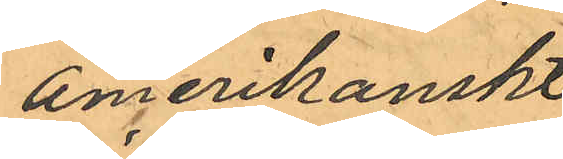amerikanskt
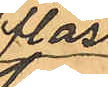fläsk
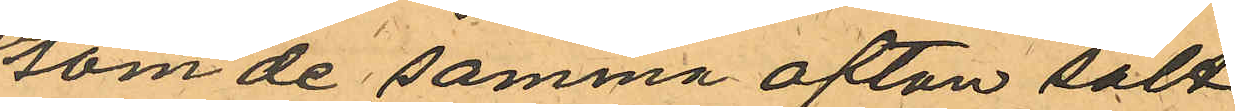som de samma afton sålt
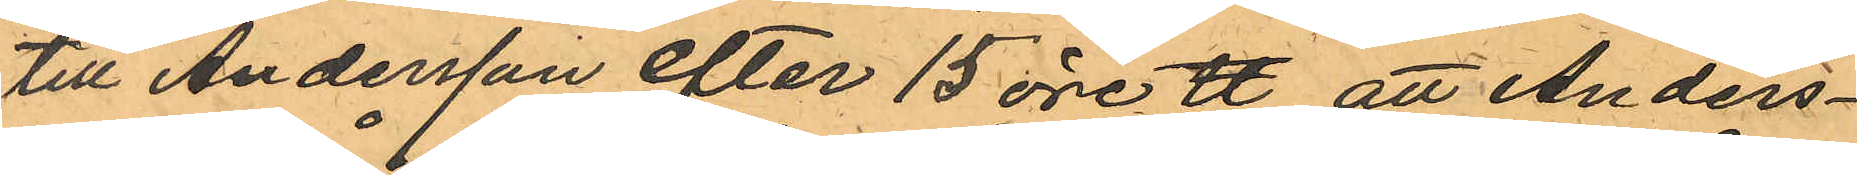till Andersson efter 15 öre ℔, att Anders¬
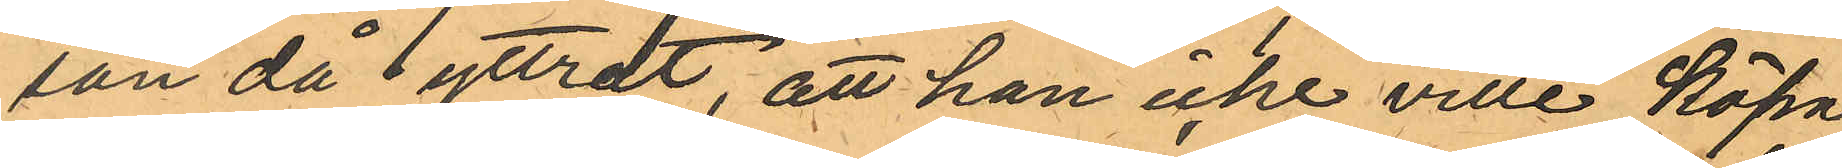son då yttrat, att han icke ville köpa
